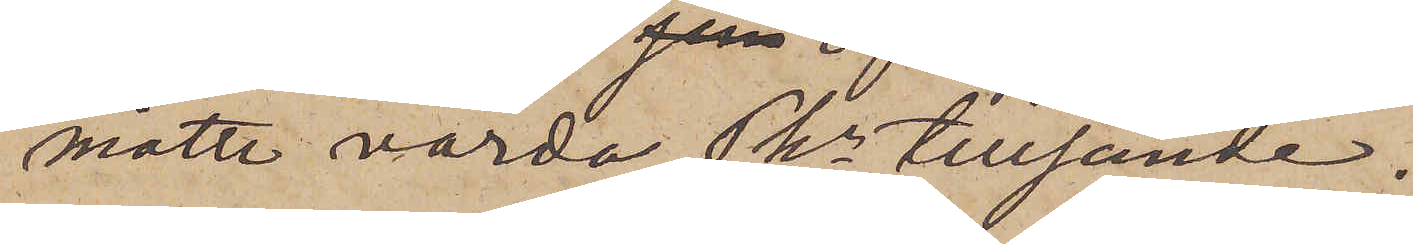måtte varda PKn tillsände.
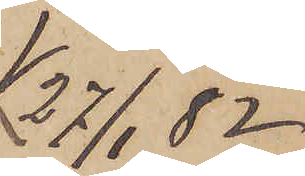27/1 82.
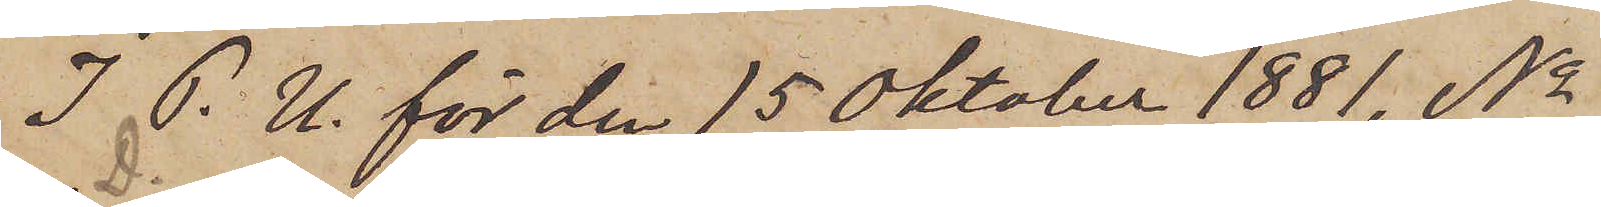I P. U. för den 15 Oktober 1881, No
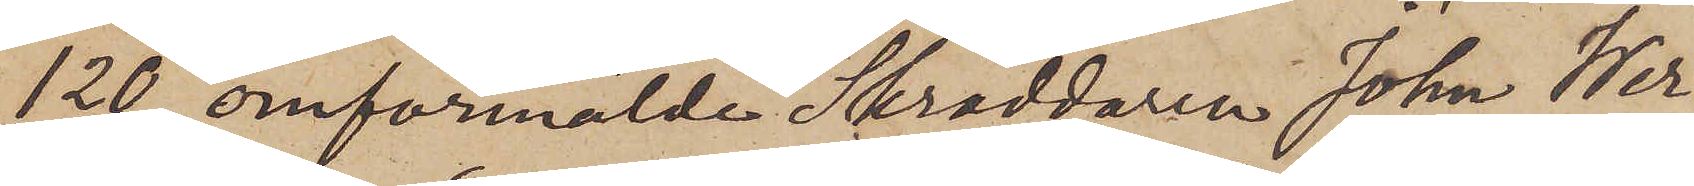120, D. omförmälde Skräddaren John Wer¬
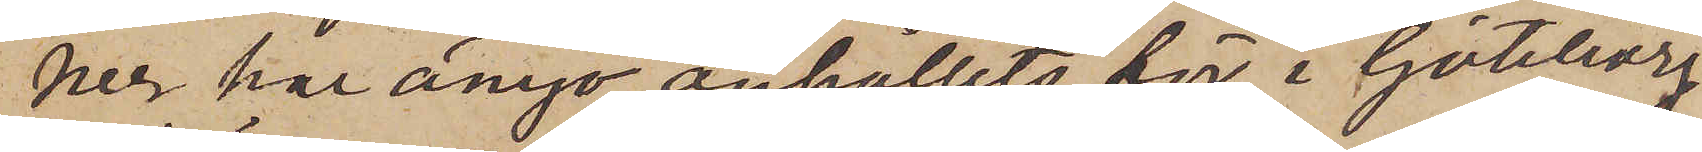ner har ånyo anhållits för i Göteborg
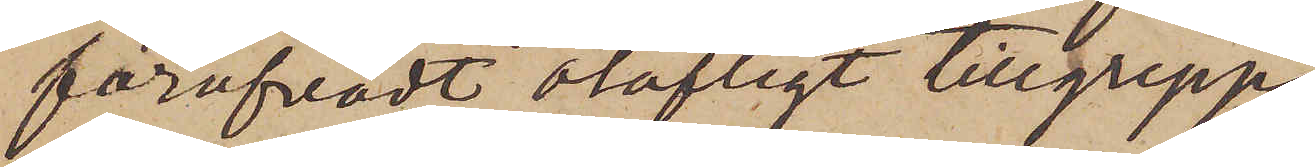föröfvadt olofligt tillgrepp.
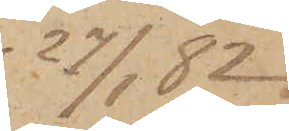27/1  82.
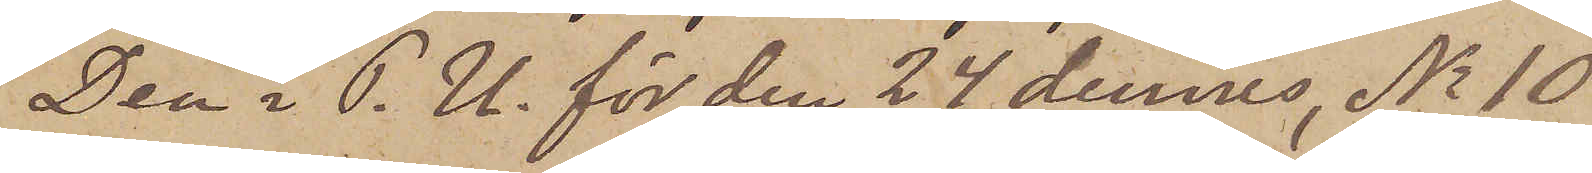Den i P.U. för den 24 dennes, No 10
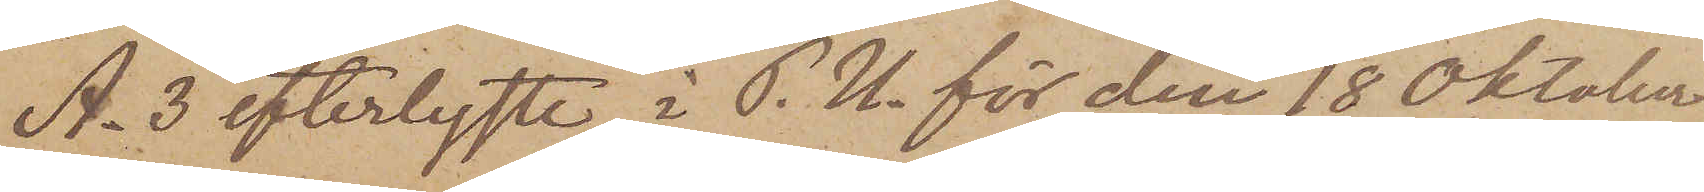A. 3 efterlyste, i P.U. för den 18 Oktober
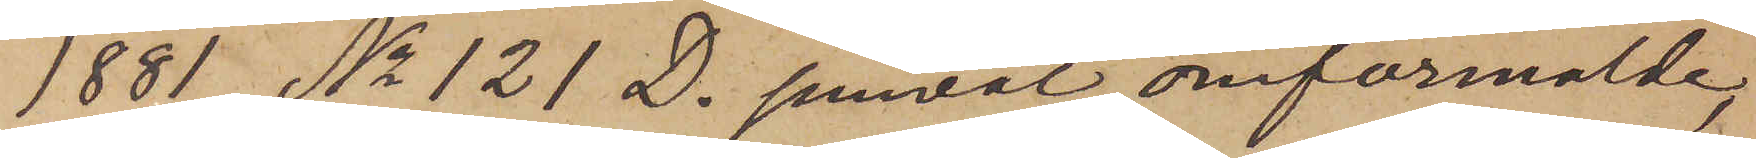1881, No 121 D. jemväl omförmälde,
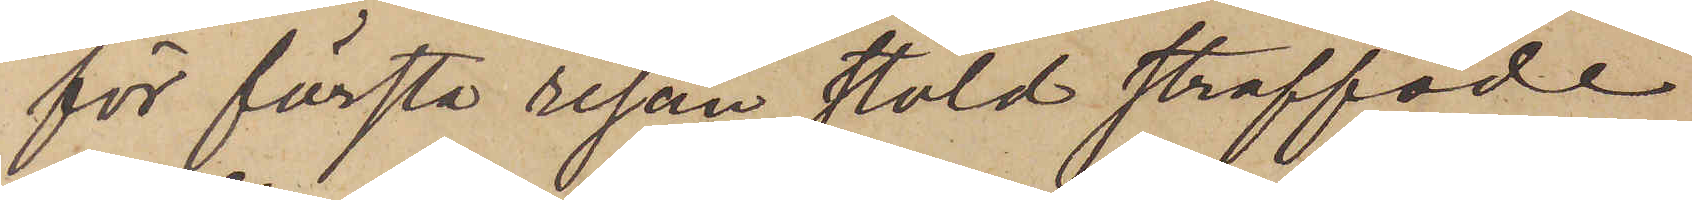för första resan stöld straffade
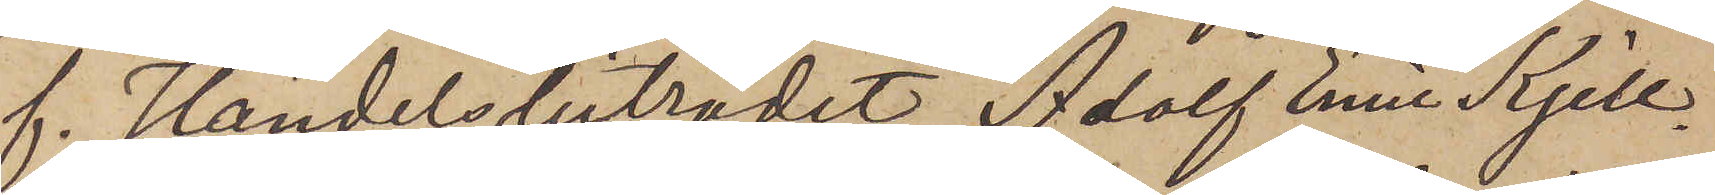f. Handelsbiträdet Adolf Emil Kjell¬
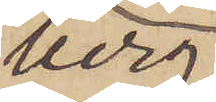berg
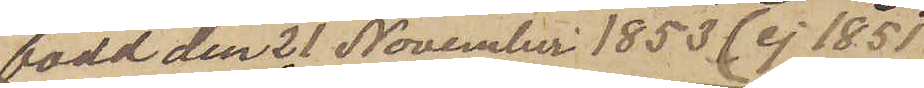född den 21 November 1853 (ej 1851)
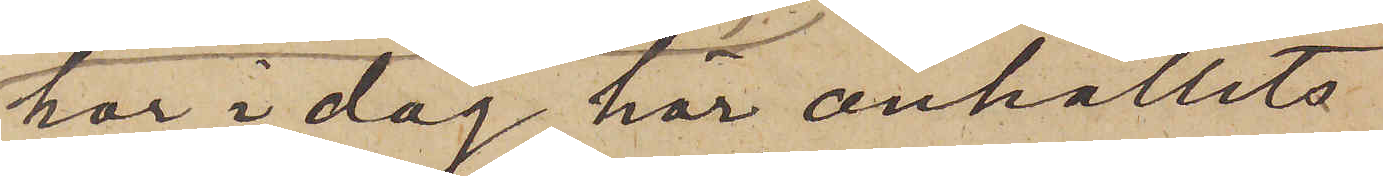har i dag här anhållits
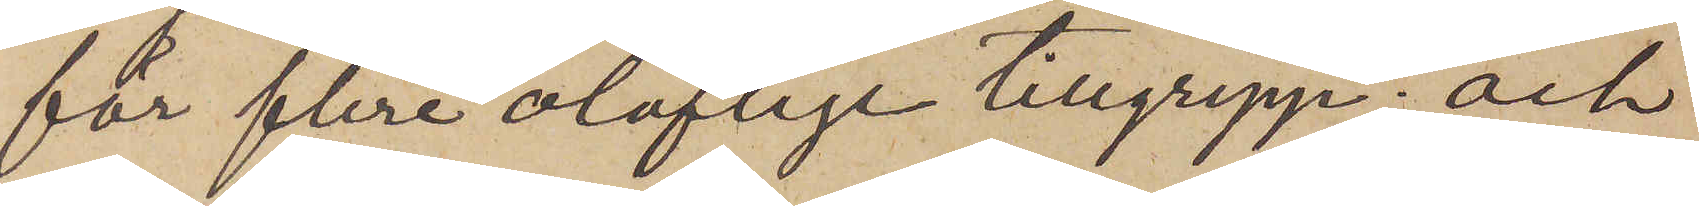för flere oloflige tillgrepp; och
